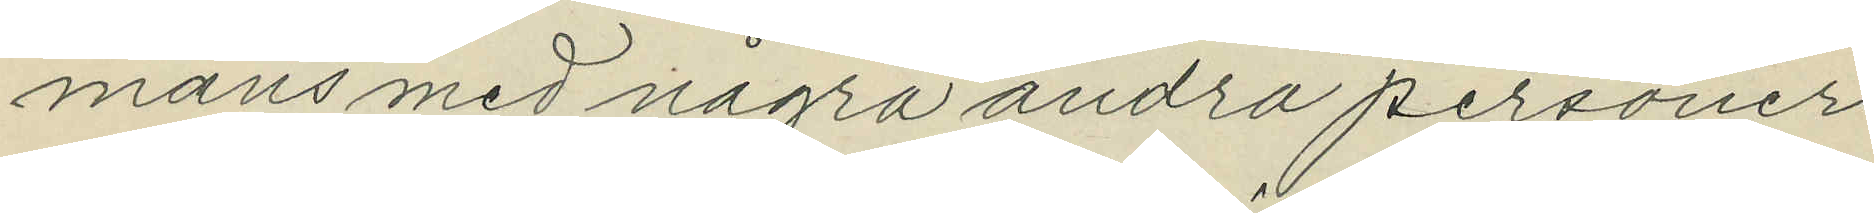mans med några andra personer
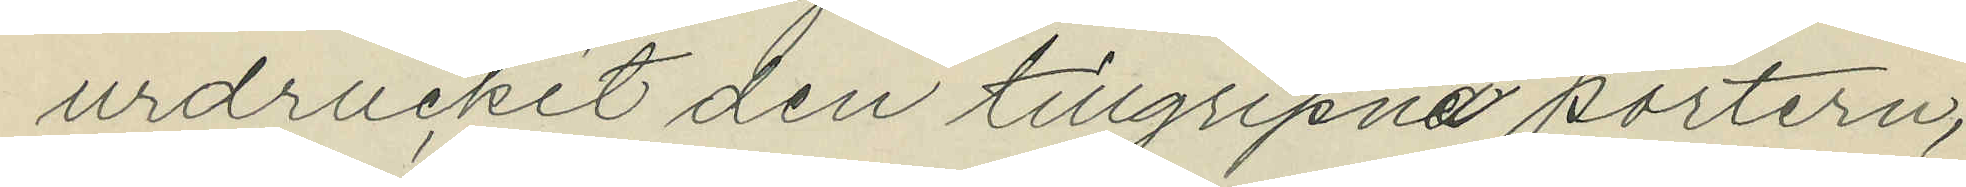urdruckit den tillgripna portern,
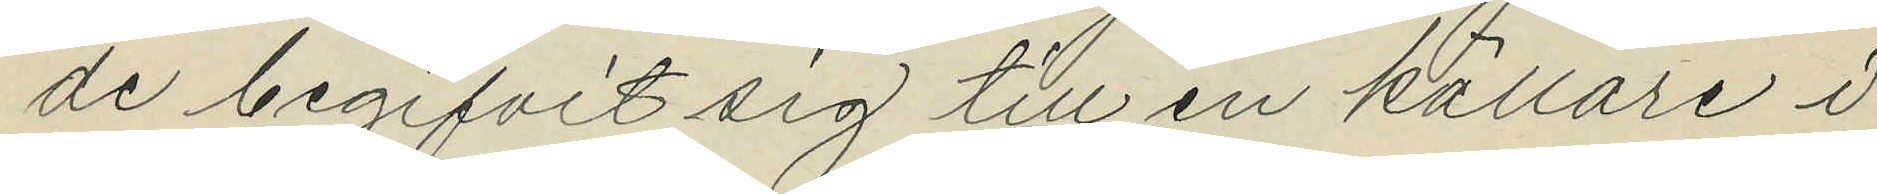de begifvit sig till en källare i
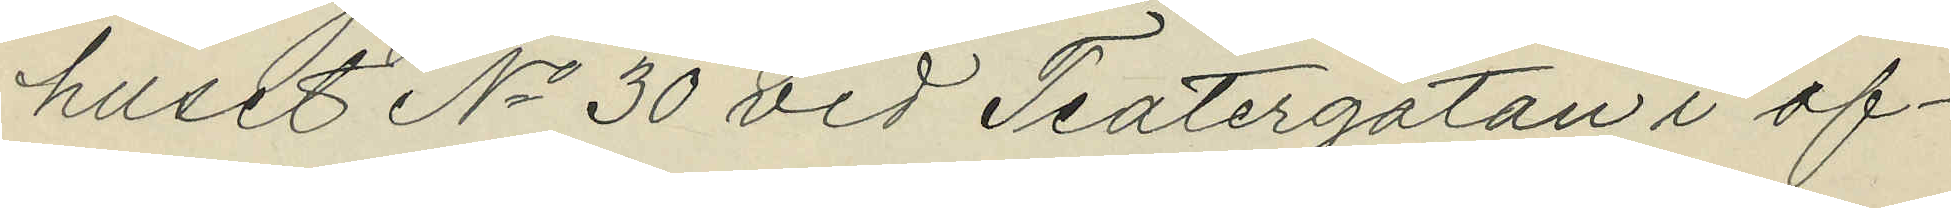huset No 30 vid Teatergatan i af¬
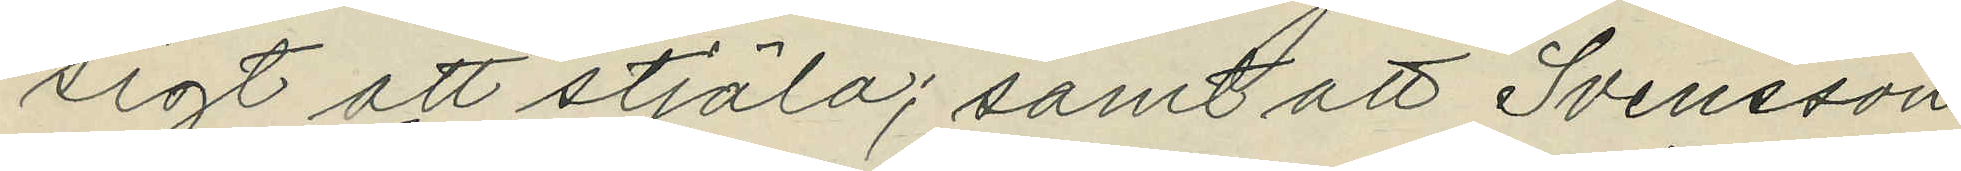sigt att stjäla; samt att Svensson
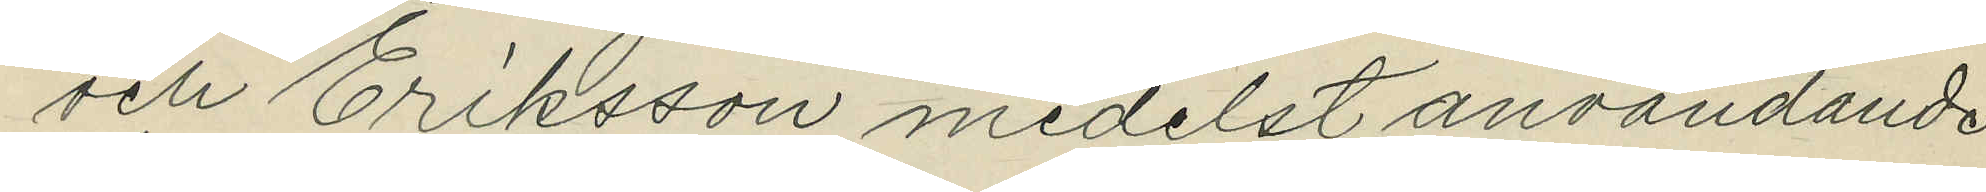och Eriksson medelst användande
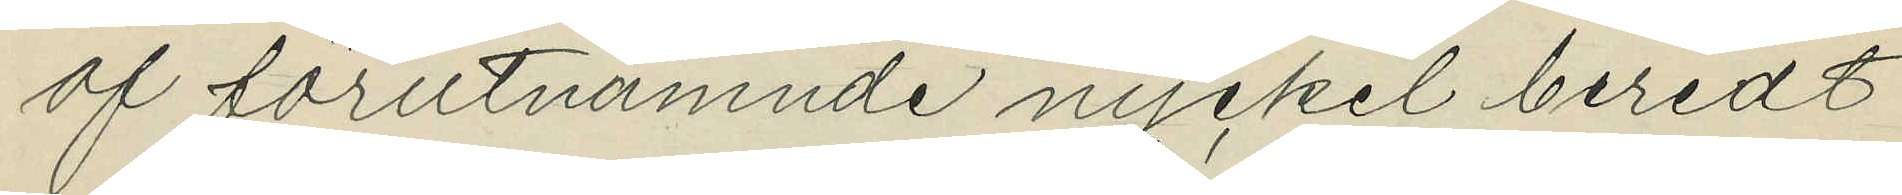af förutnämnde nyckel beredt
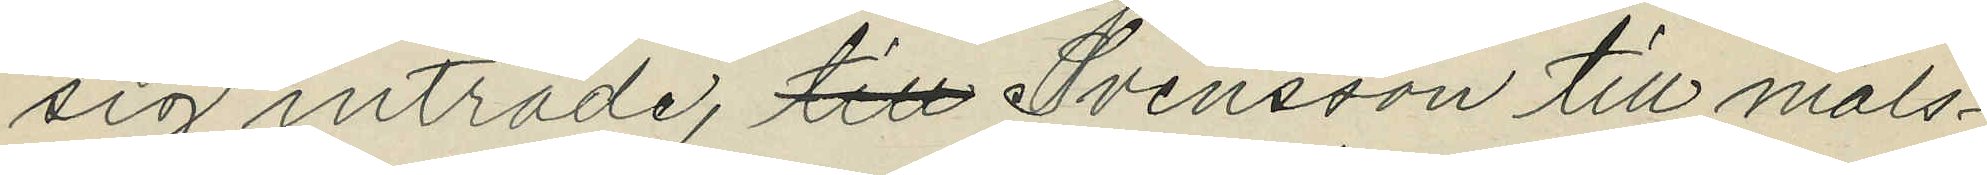sig inträde, till Svensson till måls¬
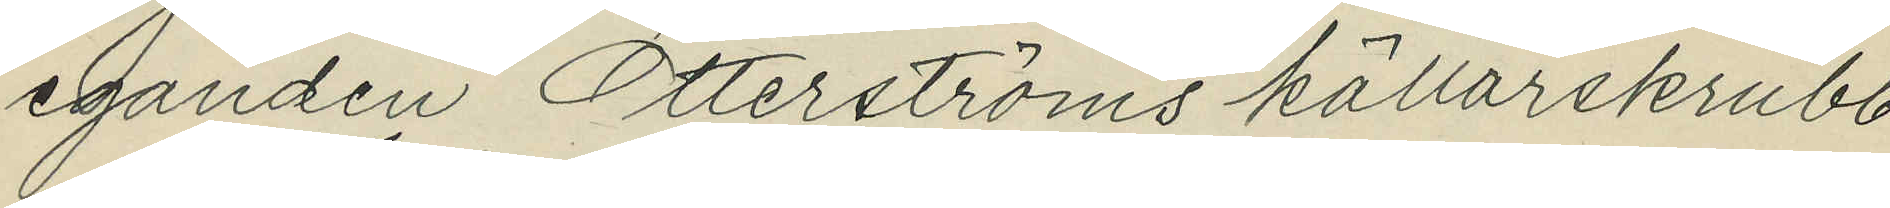eganden Otterströms källarskrubb
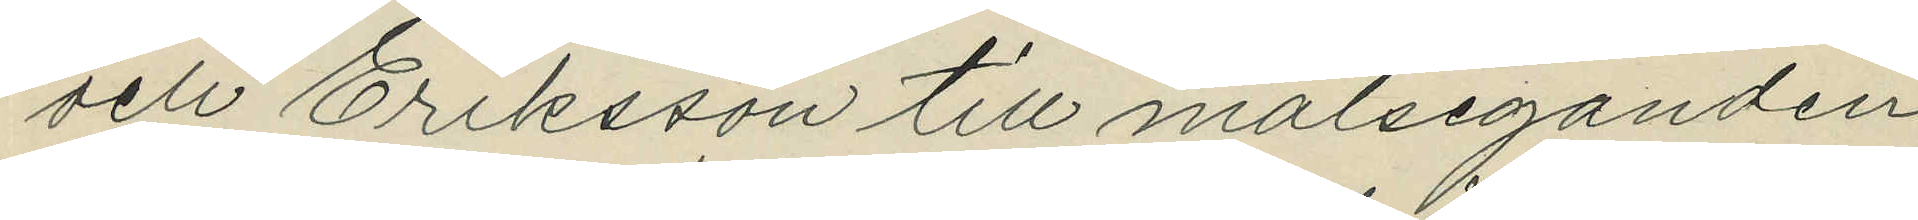och Eriksson till målseganden
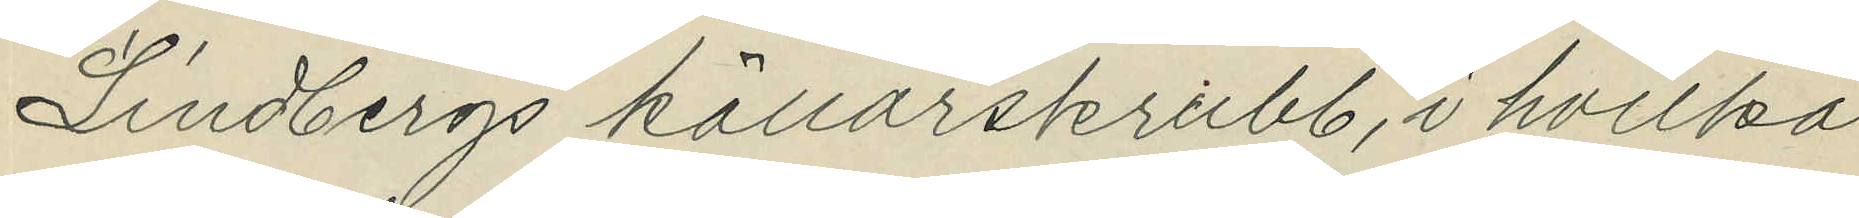Lindbergs källarskrubb, i hvilka
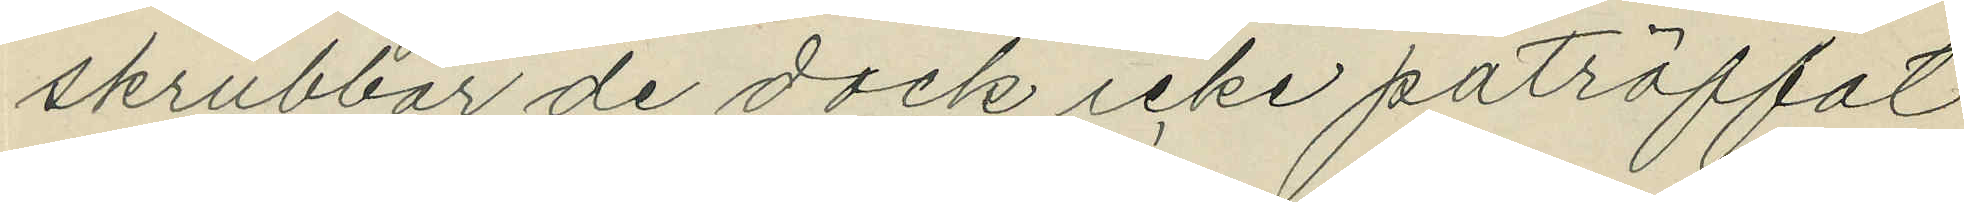skrubbar de dock icke påträffat
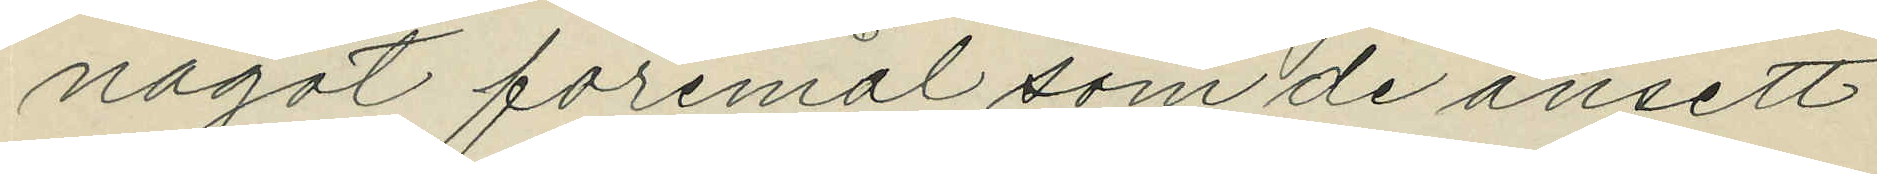något föremål som de ansett
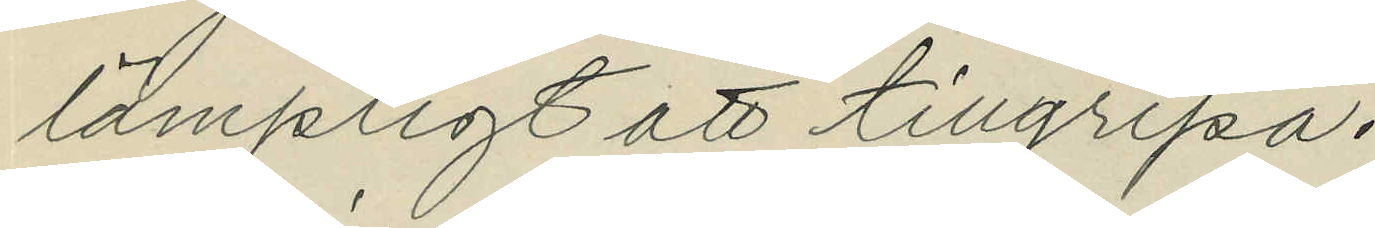lämpligt att tillgripa.
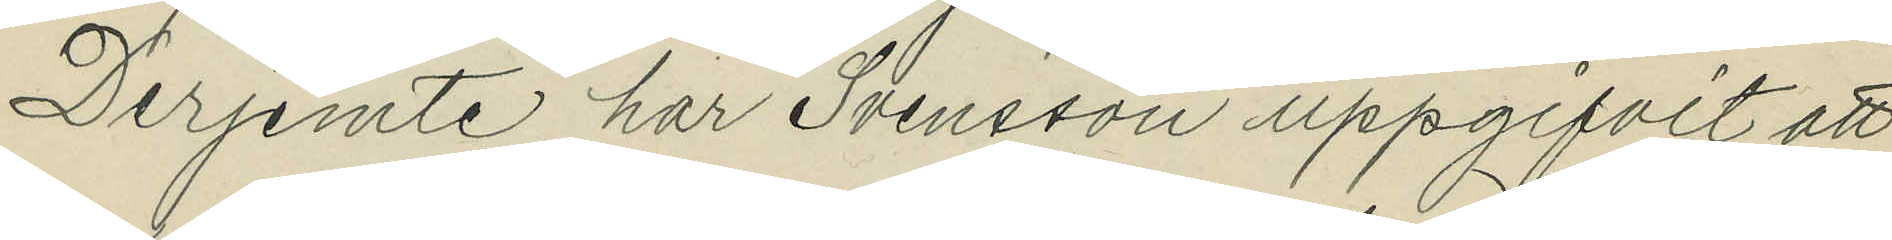Derjemte har Svensson uppgifvit att
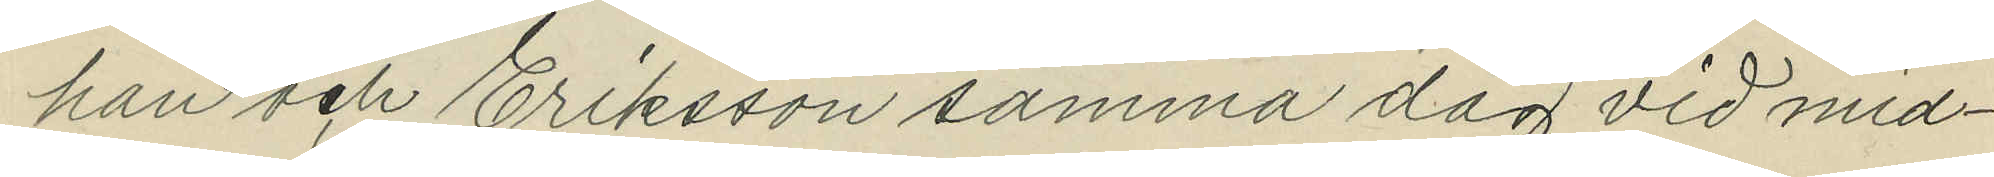han och Eriksson samma dag vid mid¬
